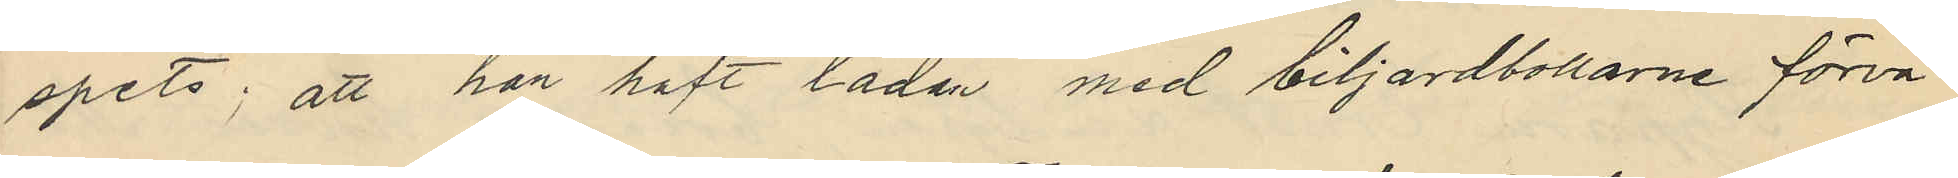spets; att han haft lådan med biljardbollarne förva¬
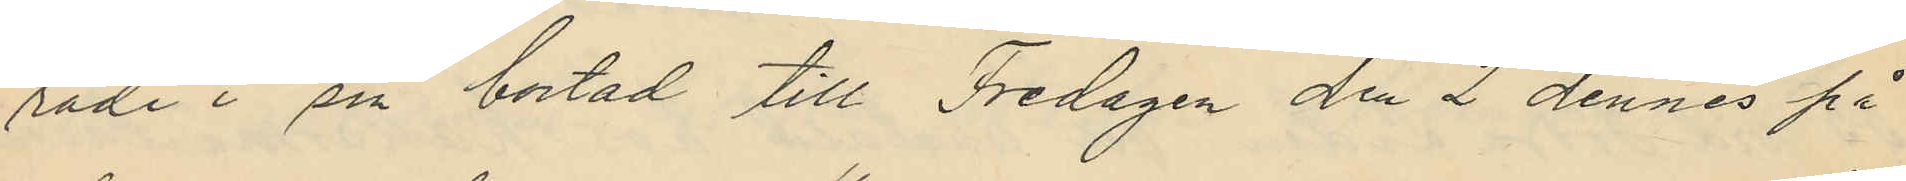rade i sin bostad till Fredagen den 2 dennes på
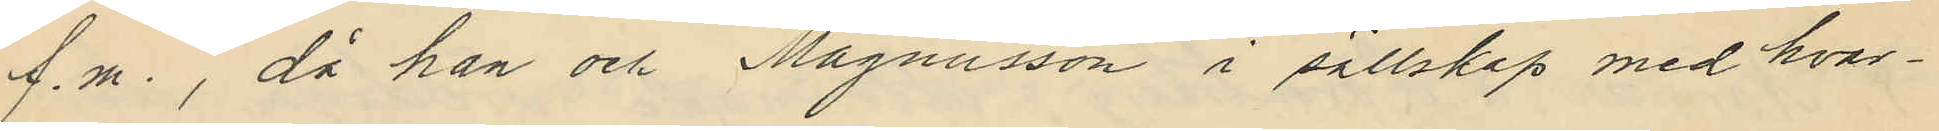f.m., då han och Magnusson i sällskap med hvar¬
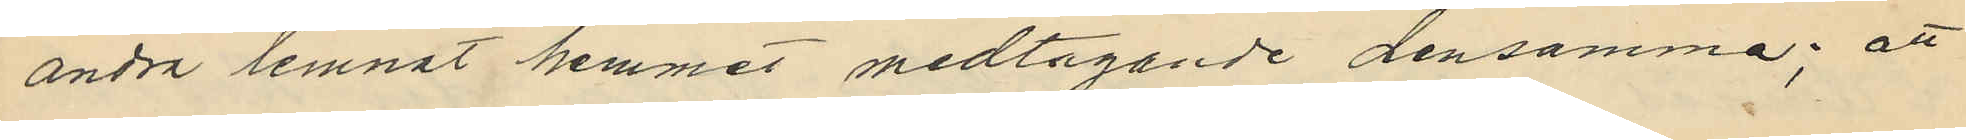andra lemnat hemmet medtagande densamma; att
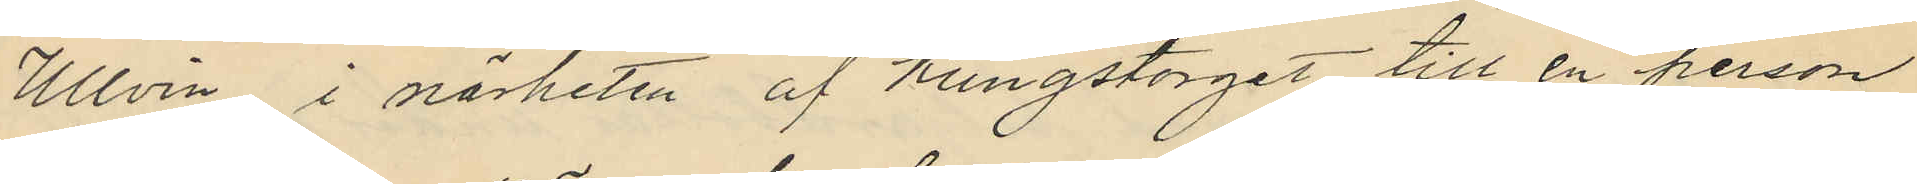Ullvin i närheten af Kungstorget till en person
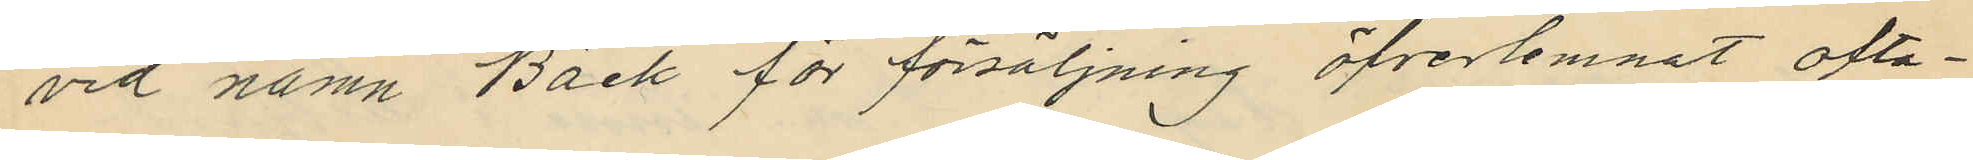vid namn Bäck för försäljning öfverlemnat ofta¬
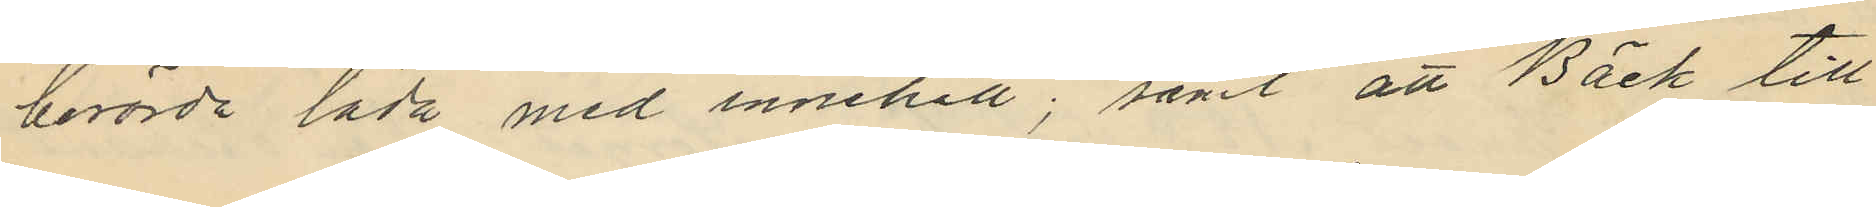berörde låda med innehåll; samt att Bäck till
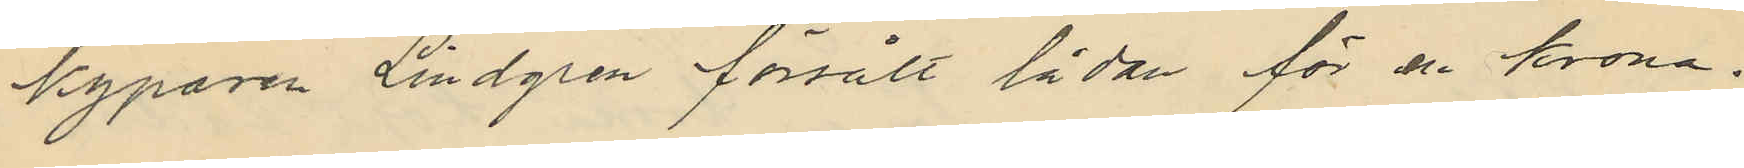kyparen Lindgren försålt lådan för en krona.
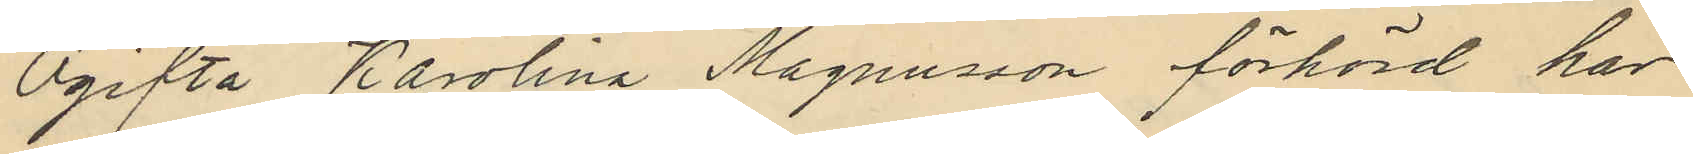Ogifta Karolina Magnusson förhörd har
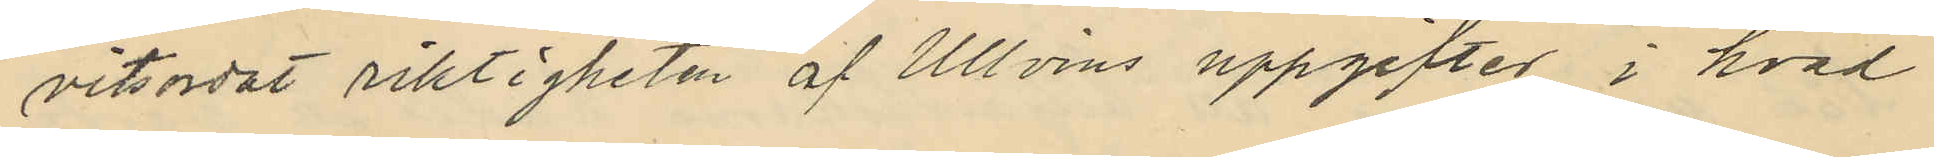vitsordat riktigheten af Ullvins uppgifter i hvad
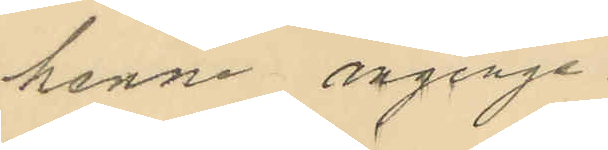henne anginge
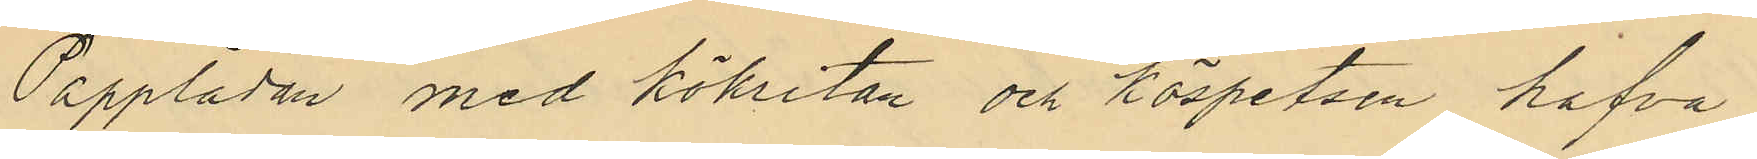Papplådan med kökritan och köspetsen hafva
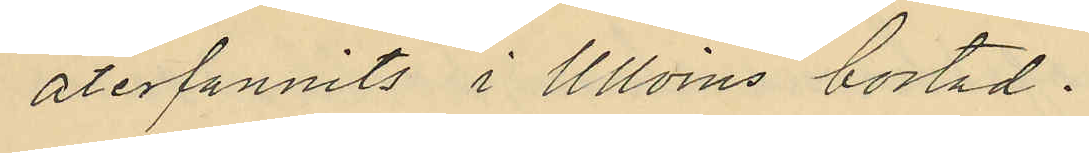återfunnits i Ullvins bostad.
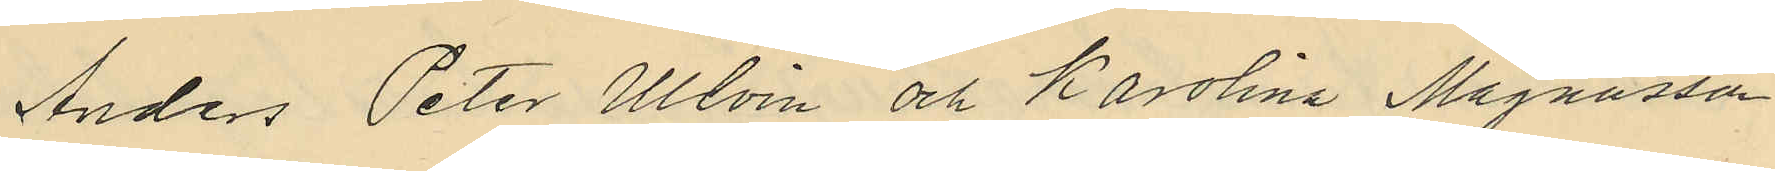Anders Peter Ullvin och Karolina Magnusson
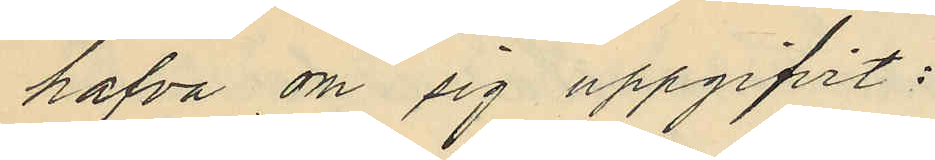hafva om sig uppgifvit:
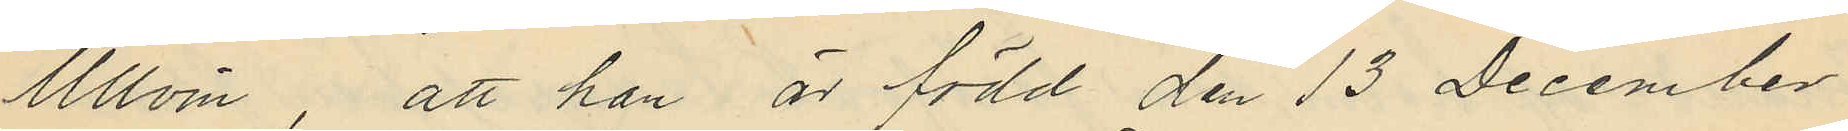Ullvin, att han är född den 13 December
